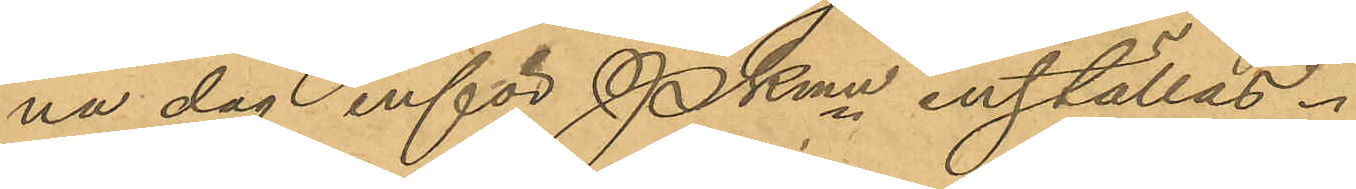na dag inför Pkmn inställas.
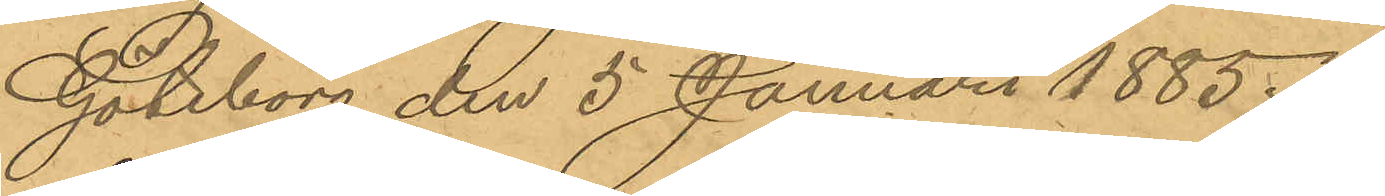Göteborg den 5 Januari 1885.
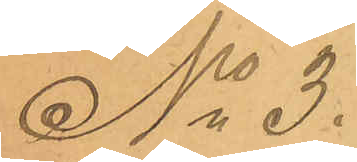No 3.
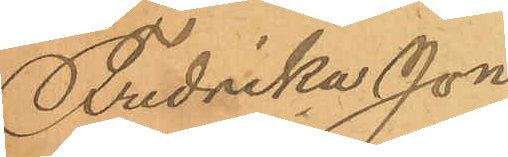Fredrika Jon¬
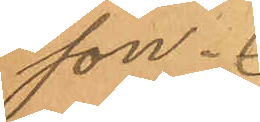son.
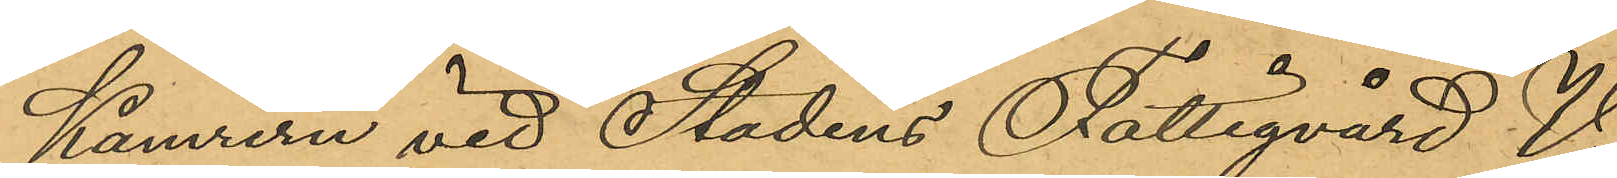Kamrern vid Stadens Fattigvård V.
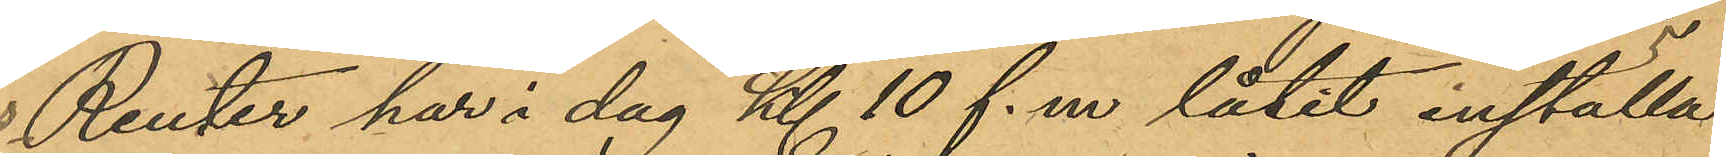Reuter har i dag Kl 10 f.m låtit inställa
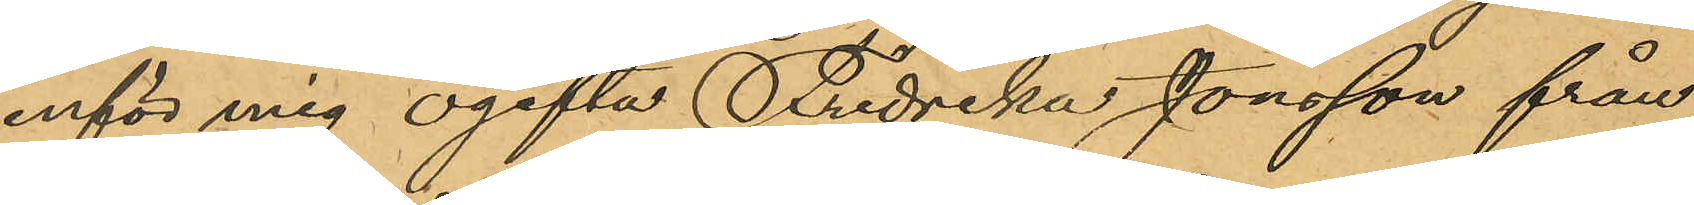inför mig ogifta Fredrika Jonsson från
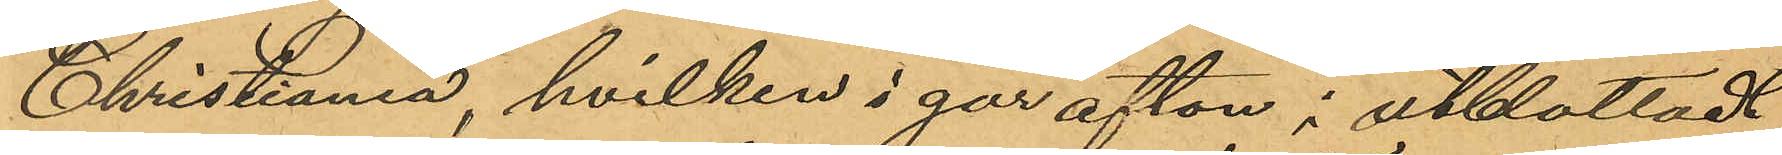Christiania, hvilken i går afton i utblottadt
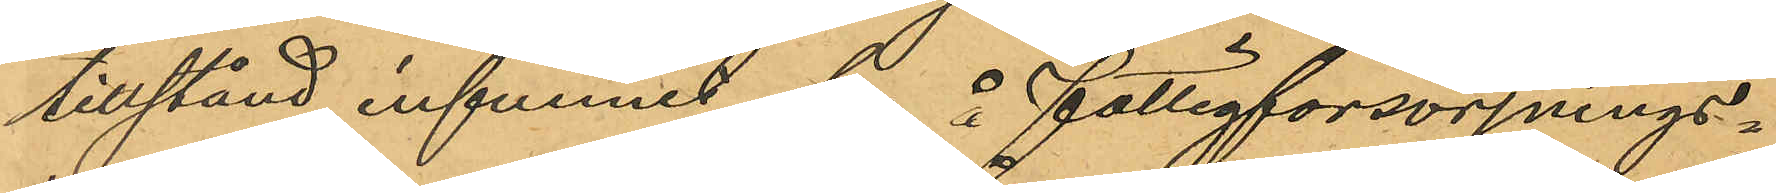tillstånd infunnit sig å fattigförsörjnings¬
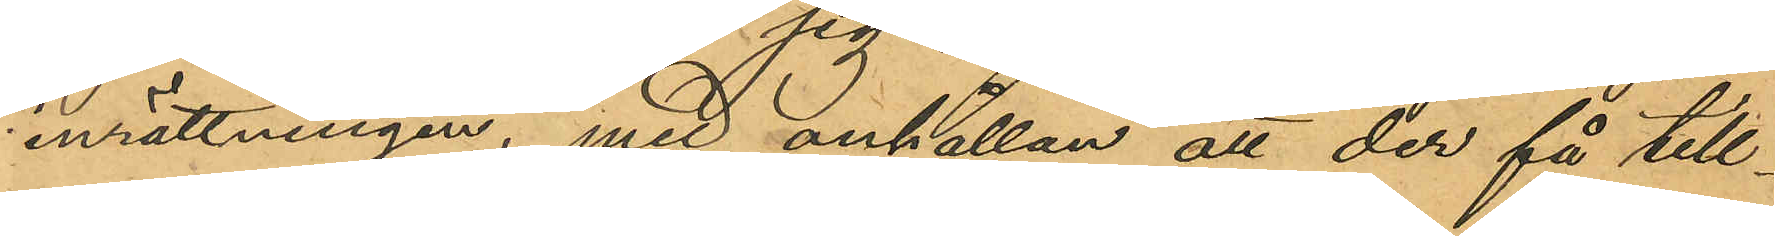inrättningen, med anhållan att der få till¬
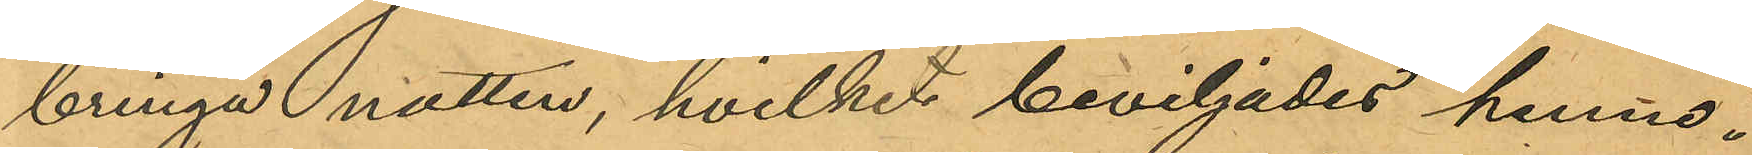bringa natten, hvilket beviljades henne.
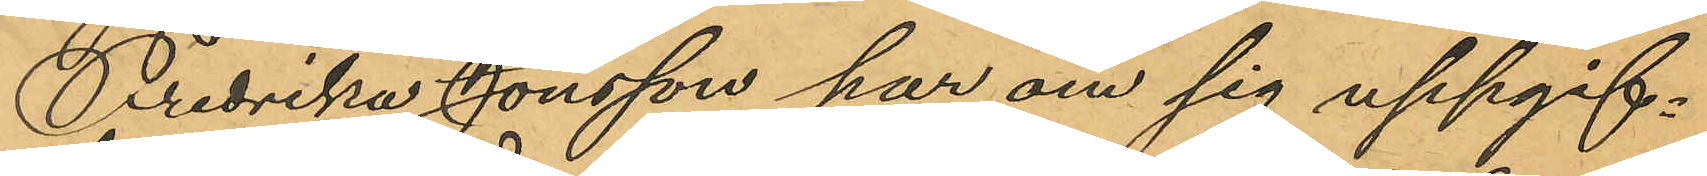Fredrika Jonsson har om sig uppgif¬
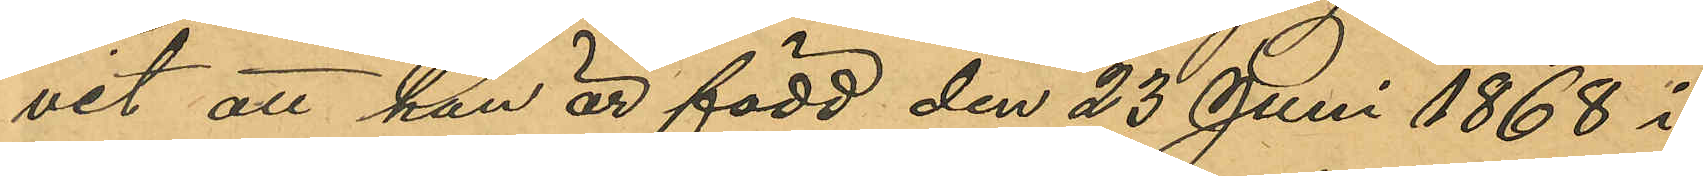vit att hon är född den 23 Juni 1868 i
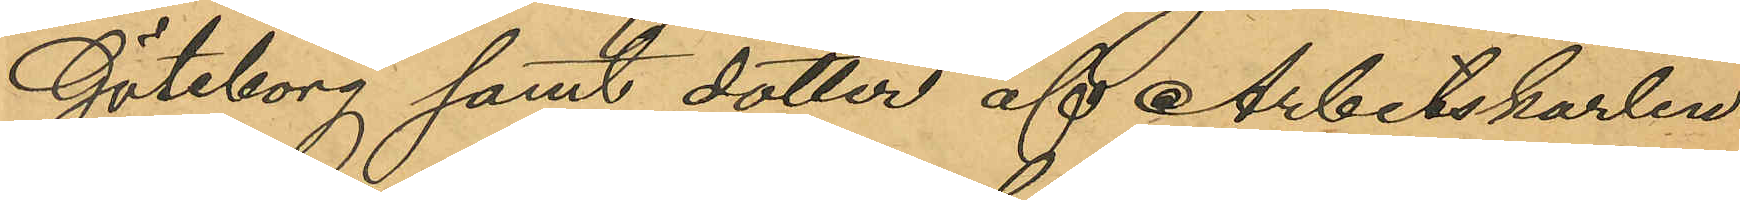Göteborg samt dotter af Arbetskarlen
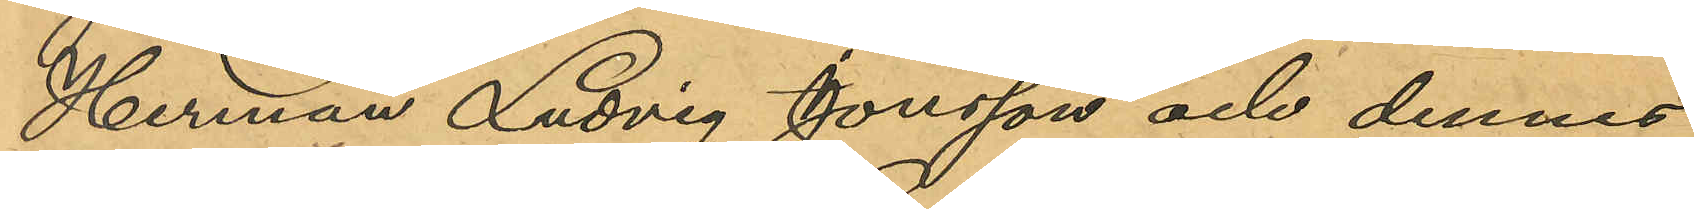Herman Ludvig Jonsson och dennes
